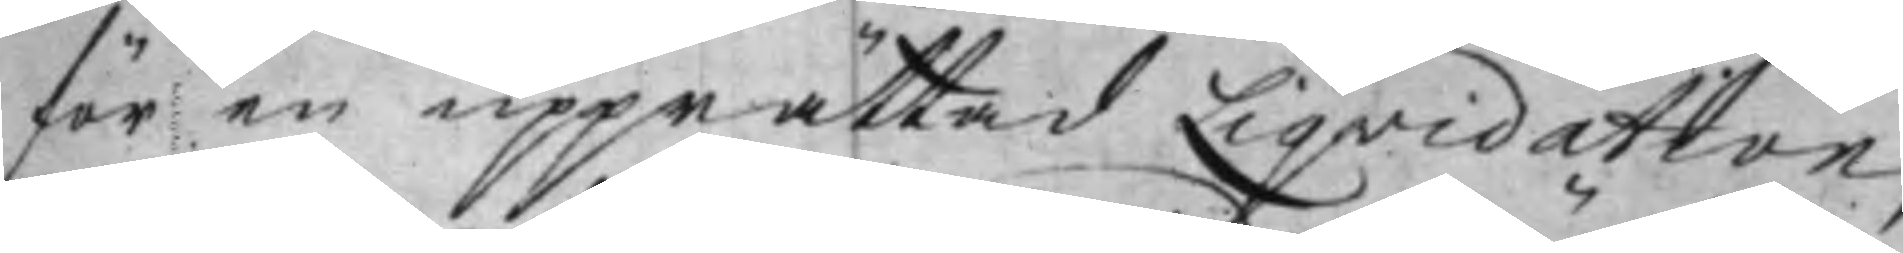för en upprättad Liqvidation,
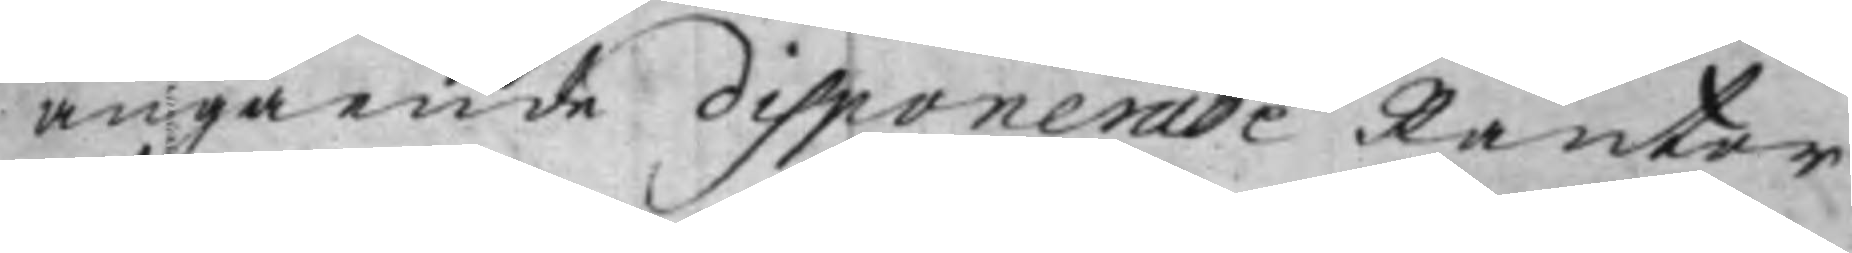angående disponerade Räntor
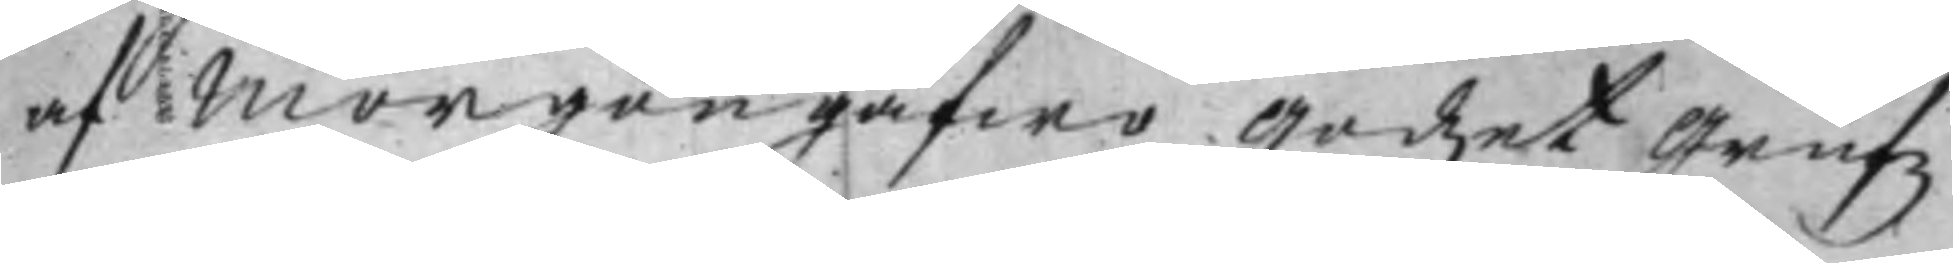af Morgongåfwo Godzet Grufz
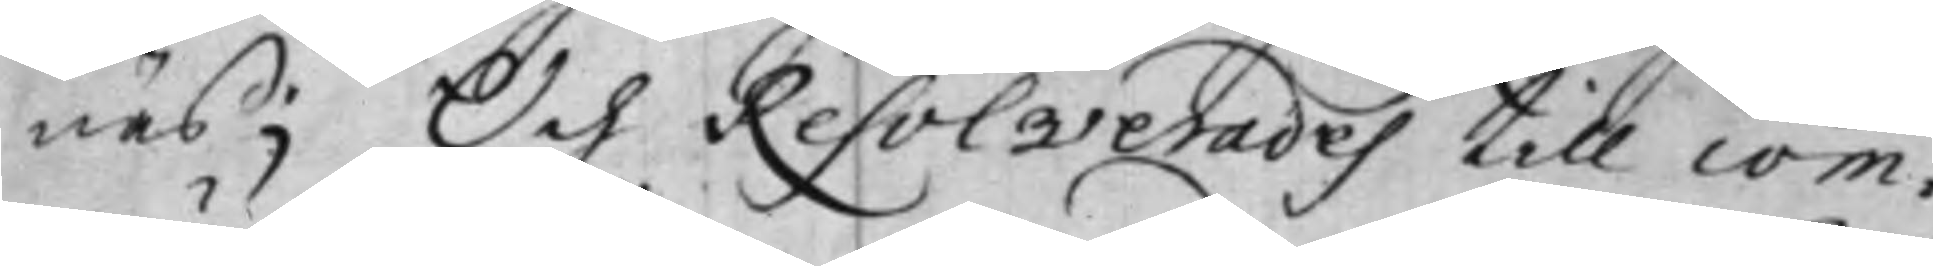näs; Och Resolverades till com¬
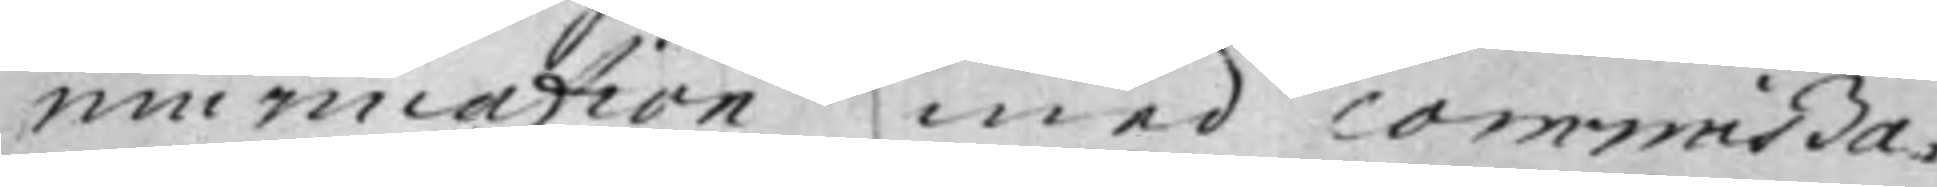munication med commißa¬
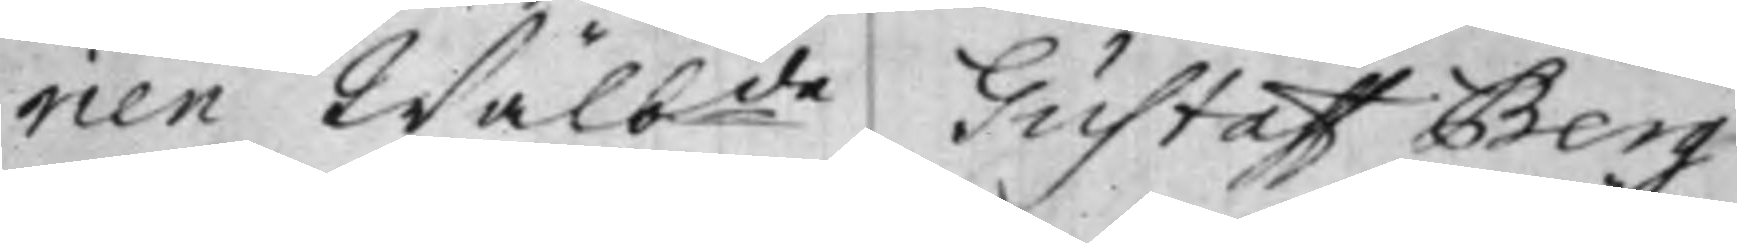rien Wälbde Gustaff Berg,
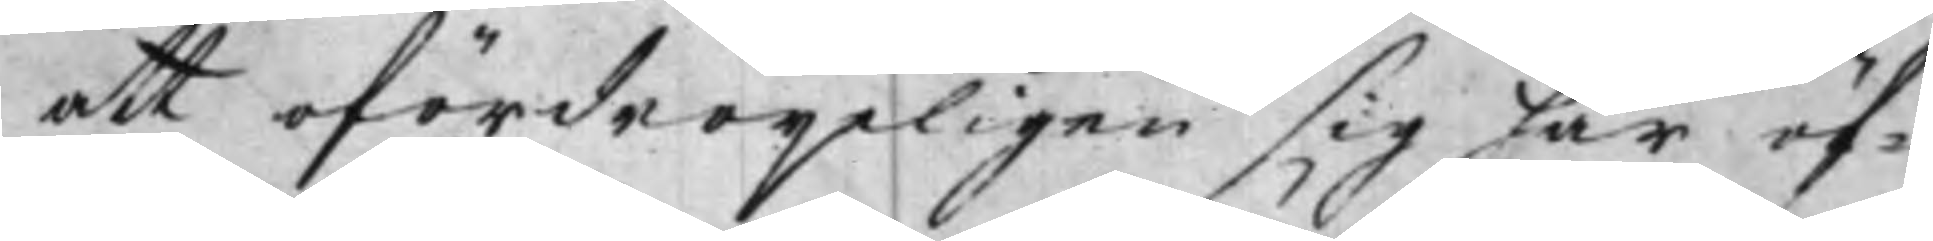att ofördröijeligen sig här öf¬
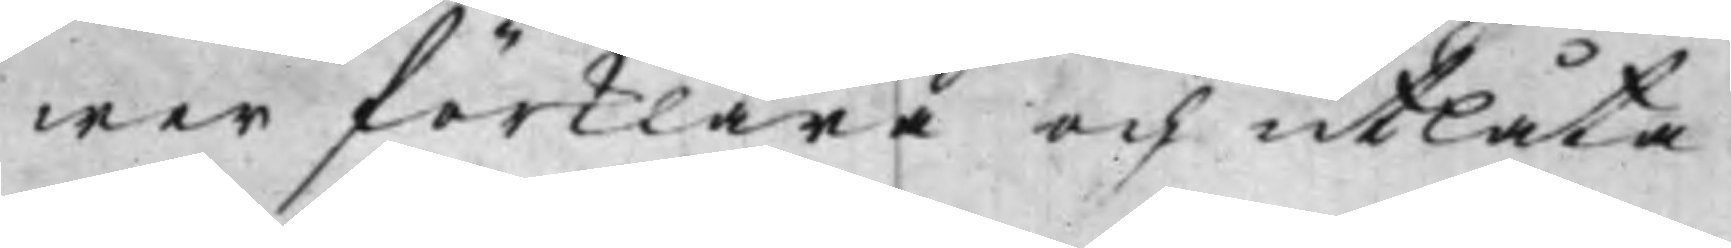wer förklara och utlåta.
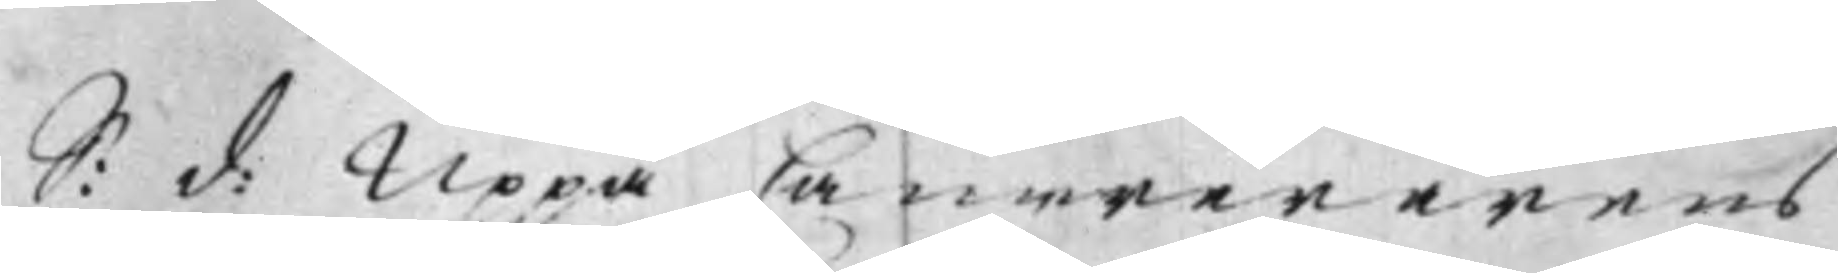S: d: Uppå Camerererens
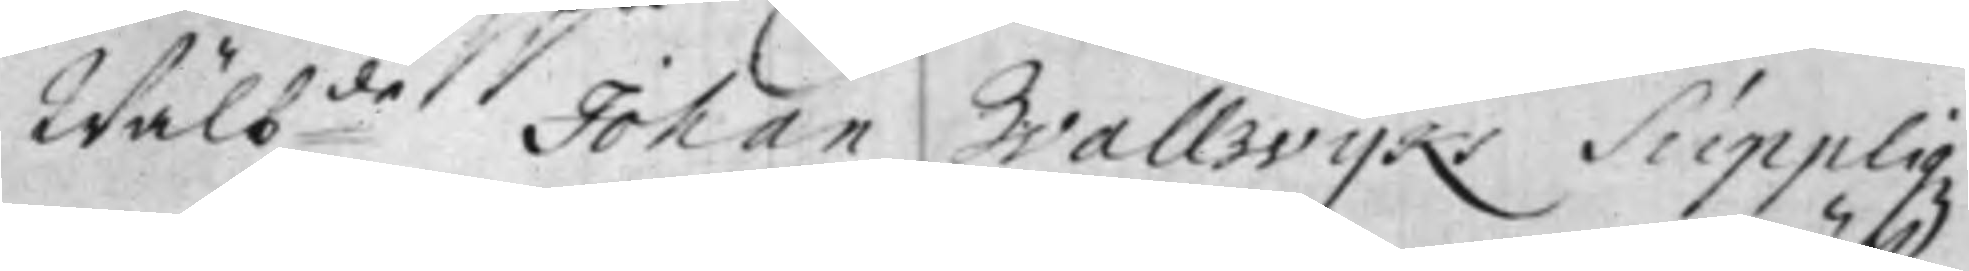Wälbde Johan Wallwijks Suppliqz
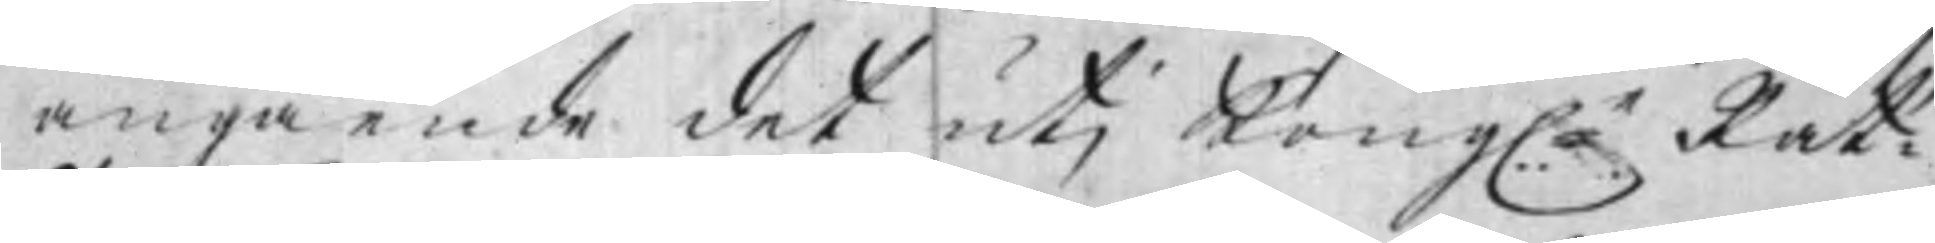angående det uti Kongle Rät¬
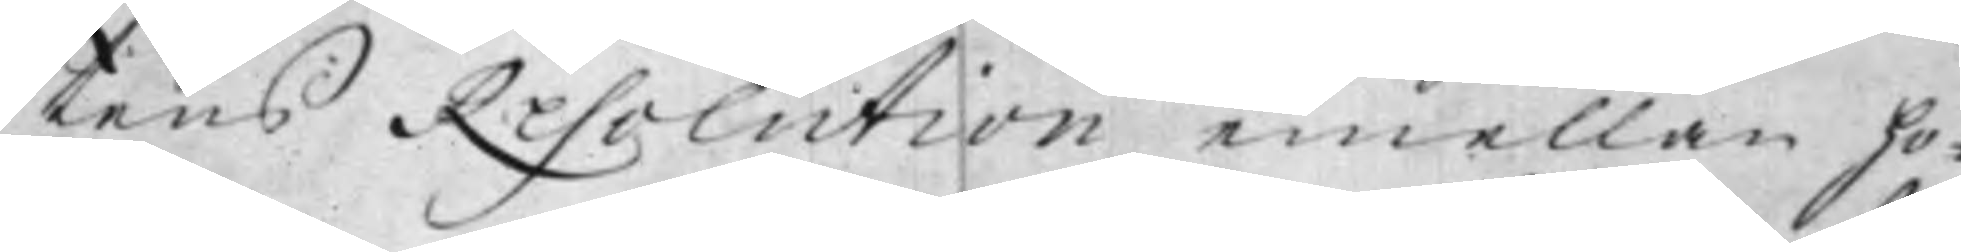tens Resolution emellan ho¬
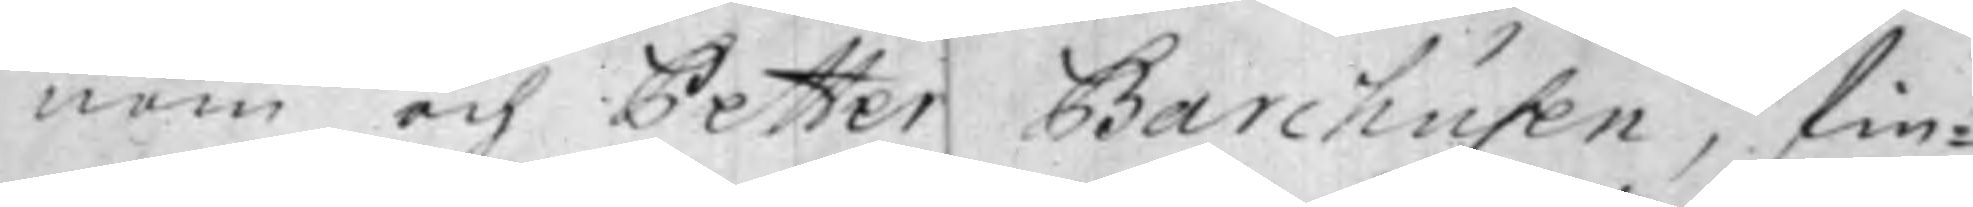nom och Petter Barchusen, fin¬
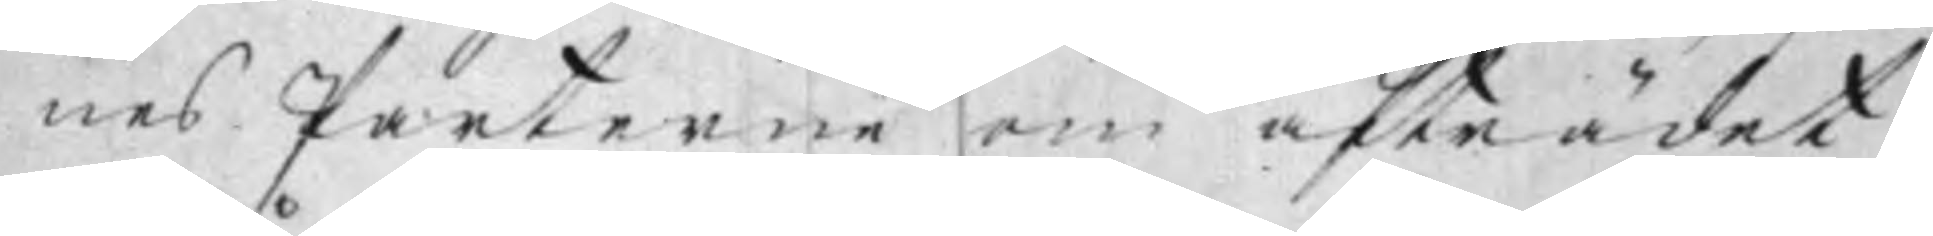nes Parterne om afträdet
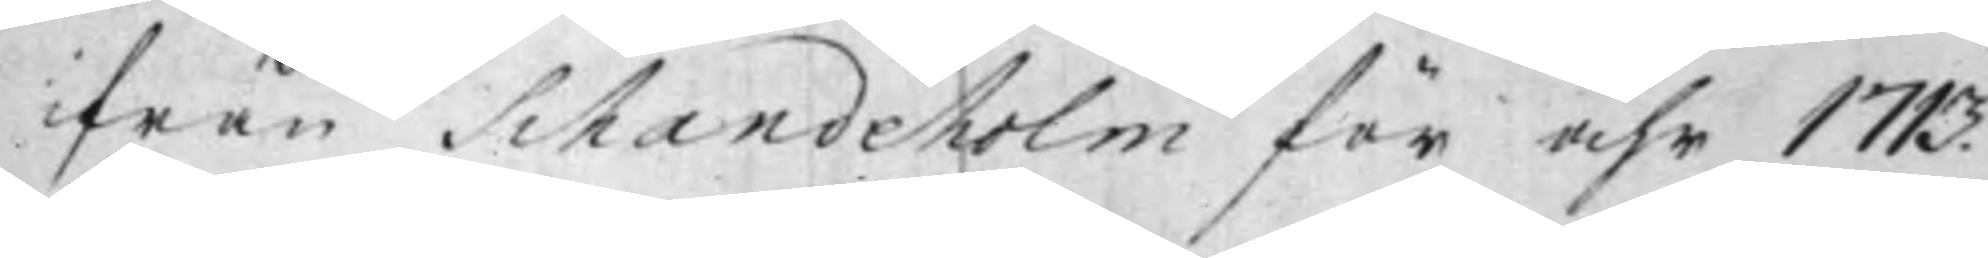ifrån Schandeholm för år 1713
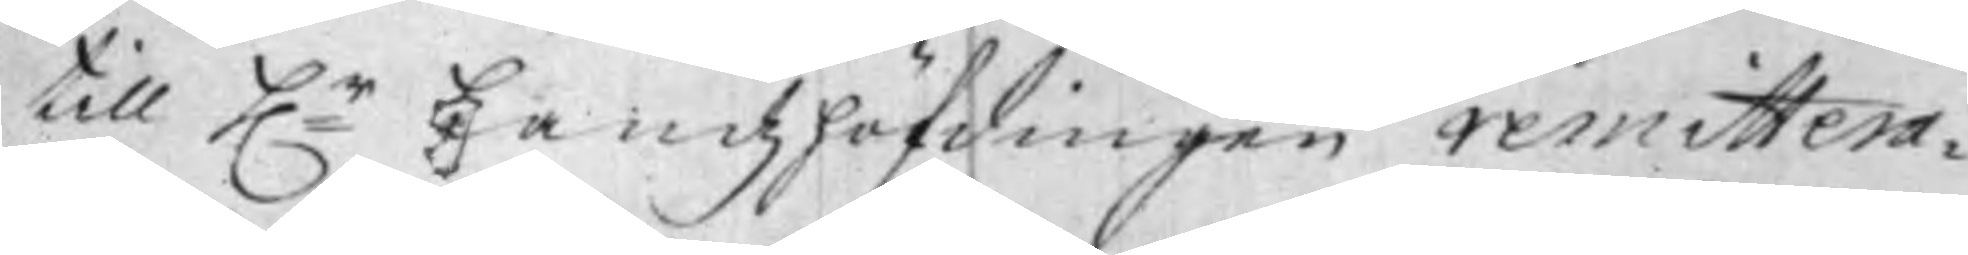till Hr Landzhöfdingen remittera¬
